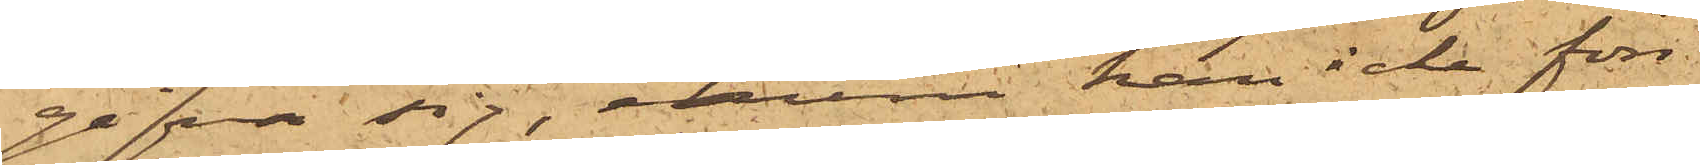gifva sig, ehuru han icke förr¬
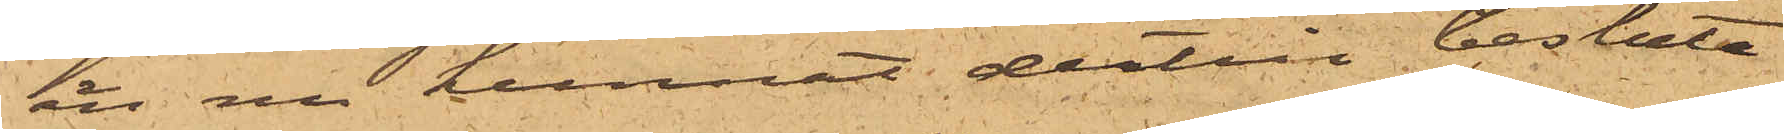än nu kunnat dertill besluta
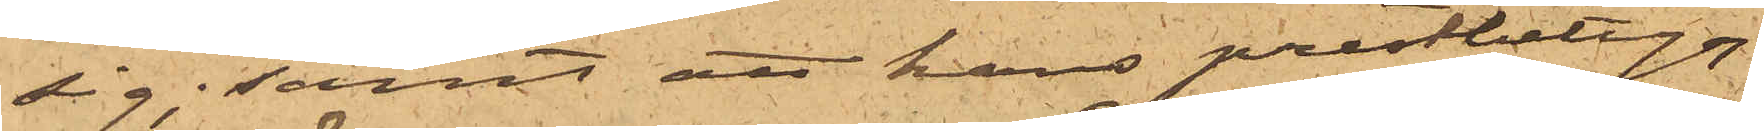sig; samt att hans prestbetyg
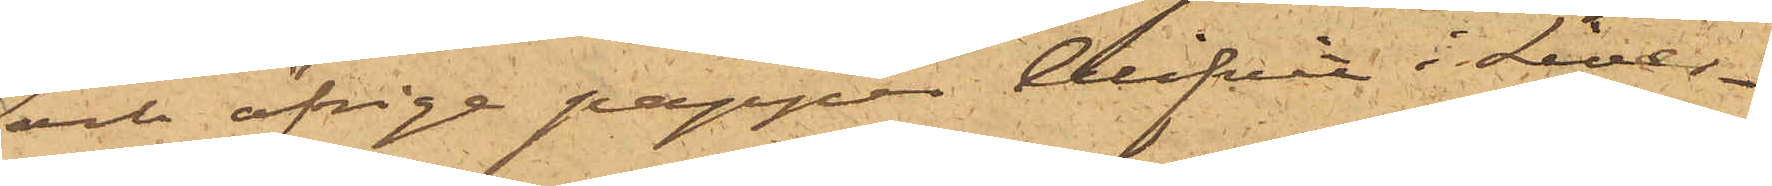och öfrige papper blifvit i Liver¬
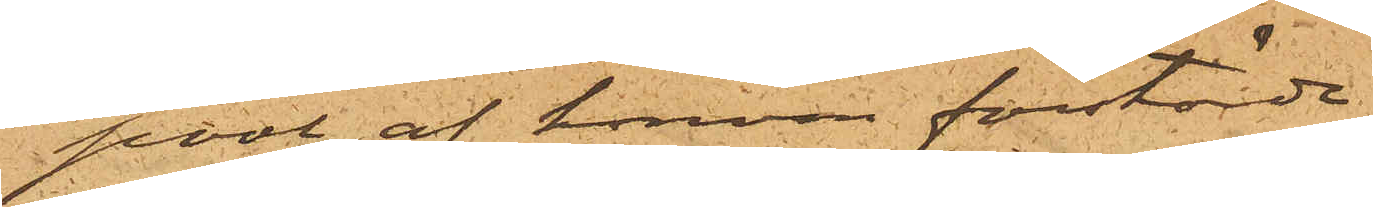pool av honom förstörde.
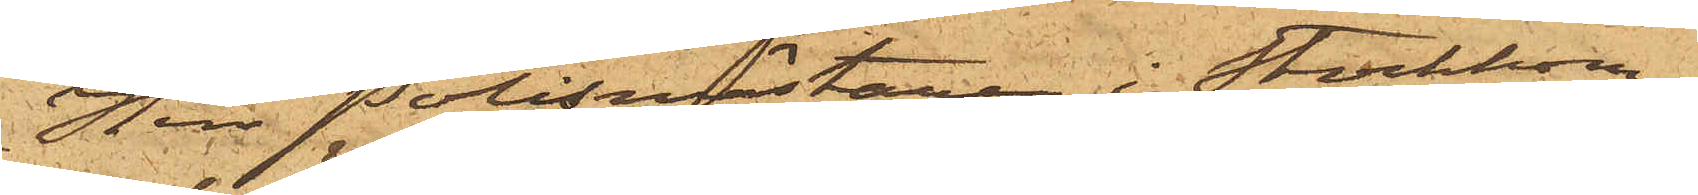Herr Polismästaren i Stockholm,
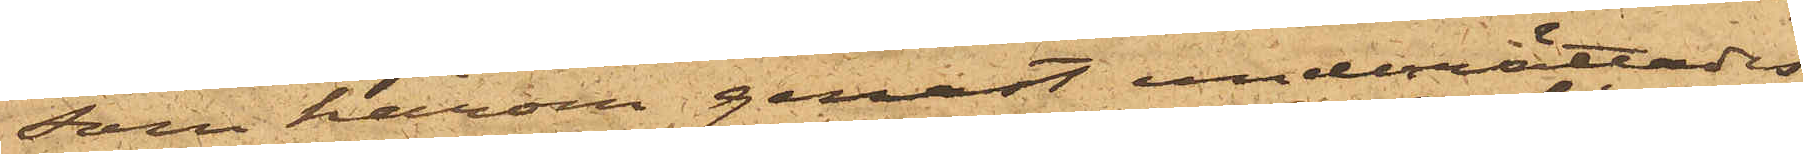som härom genast underrättades,
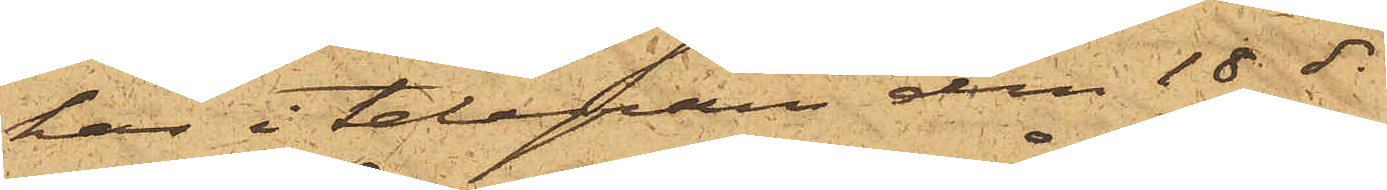har i telefon den 18 ds
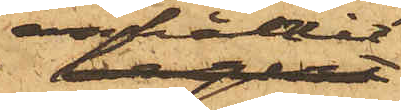anhållit
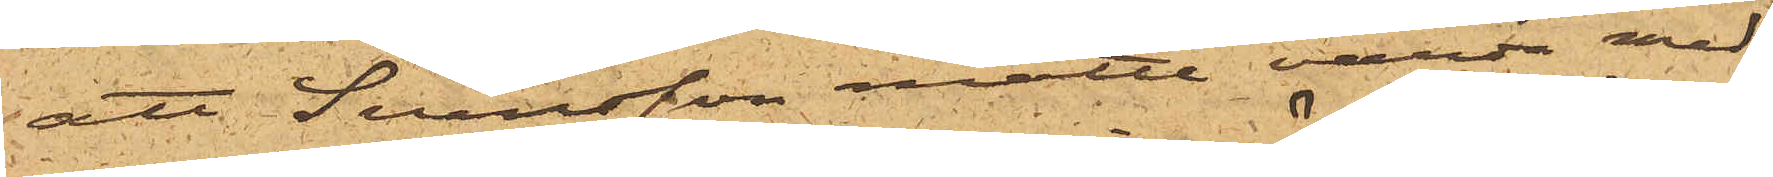att Svensson måtte varda med
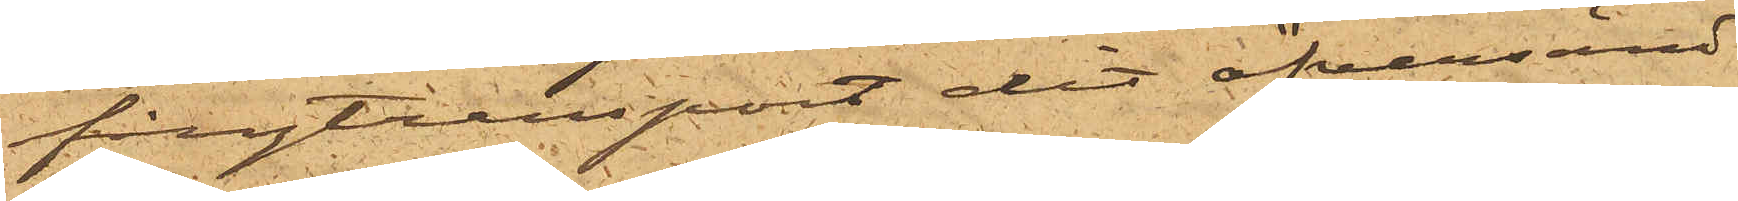fångtransport dit öfversänd
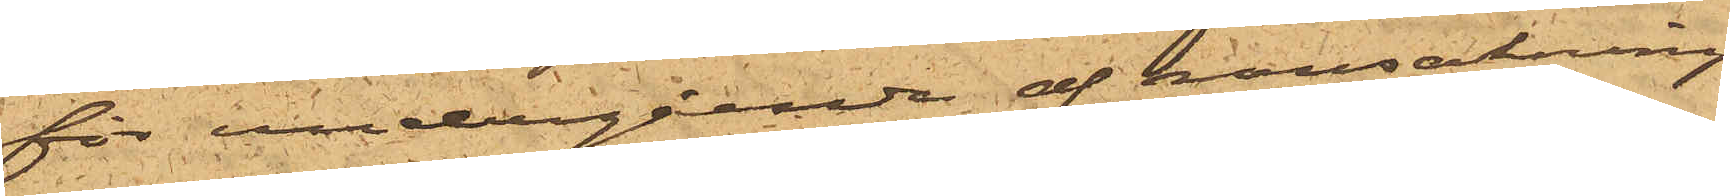för undergående af ransakning.
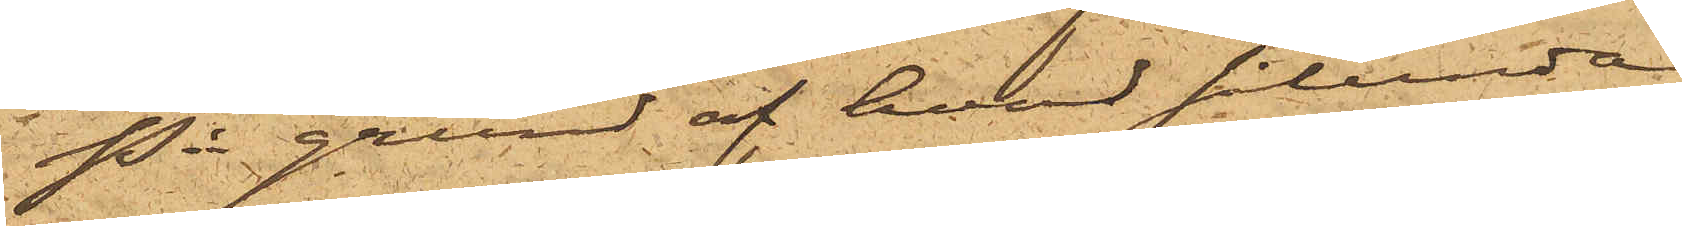På grund af hvad sålunda
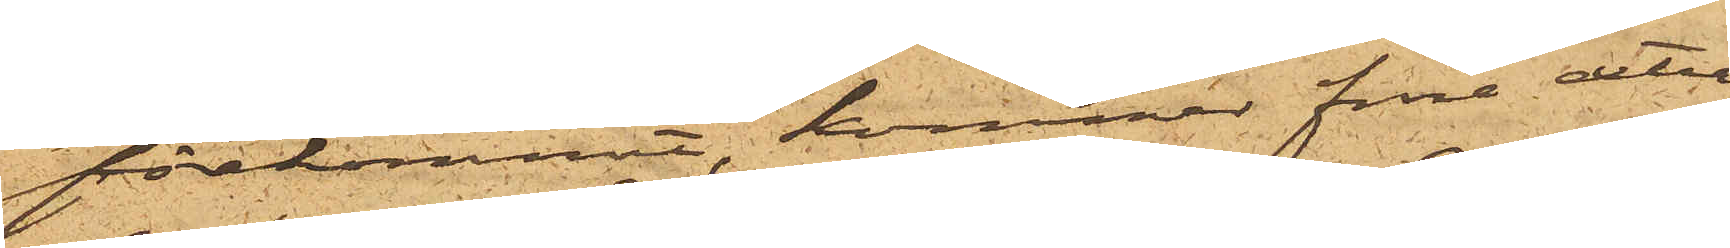förekommit, kommer förre detta
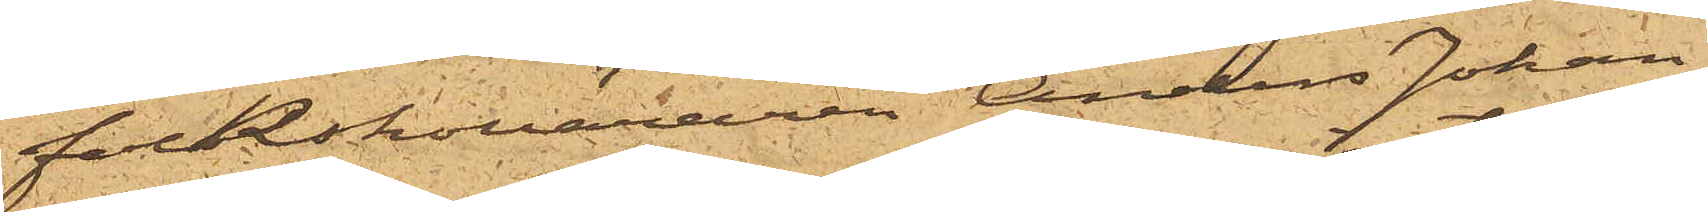folkskolläraren Anders Johan
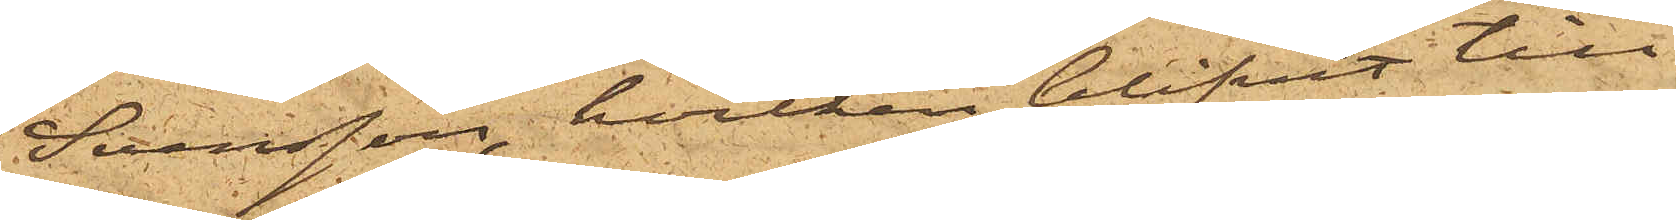Svensson, hvilken blifvit till
